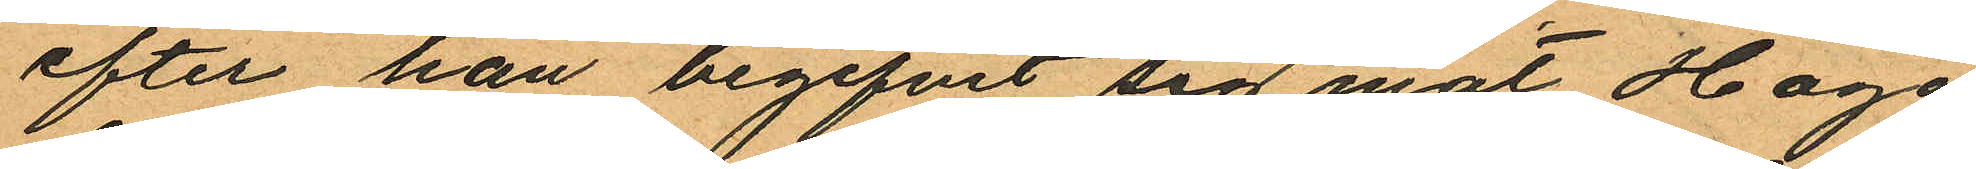efter han begifvit sig mot Haga
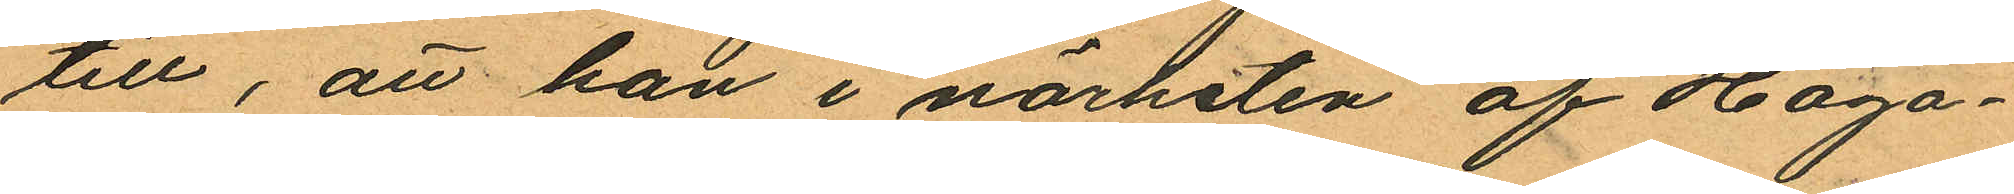till, att han i närheten af Haga¬
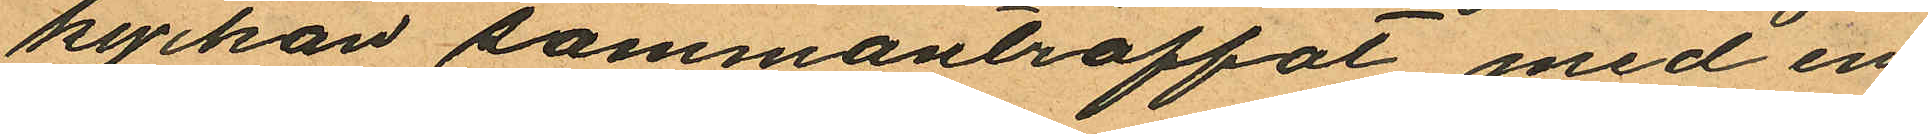kyrkan sammanträffat med en
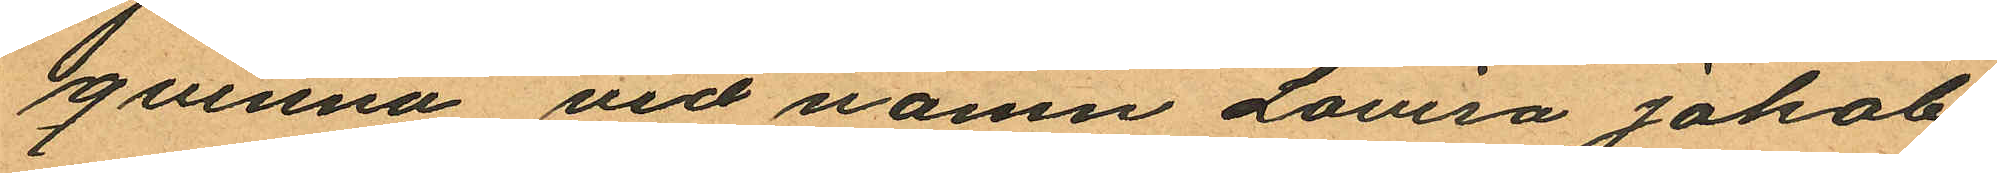qvinna vid namn Lovisa Jakobs¬
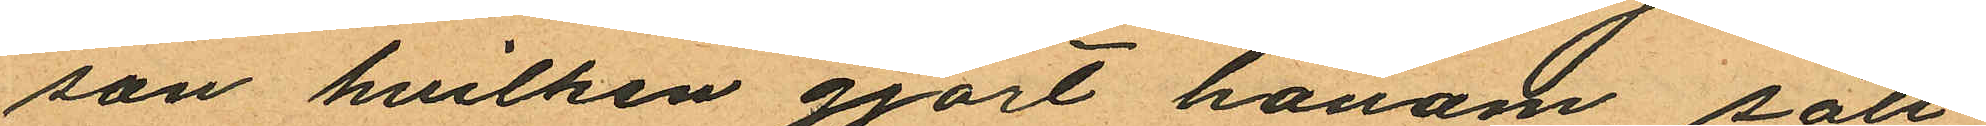son hvilken gjort honom säll¬
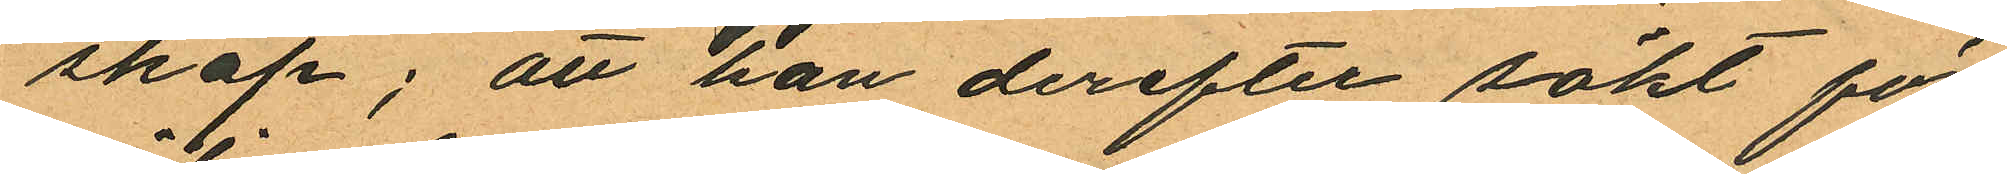skap; att han derefter sökt för¬
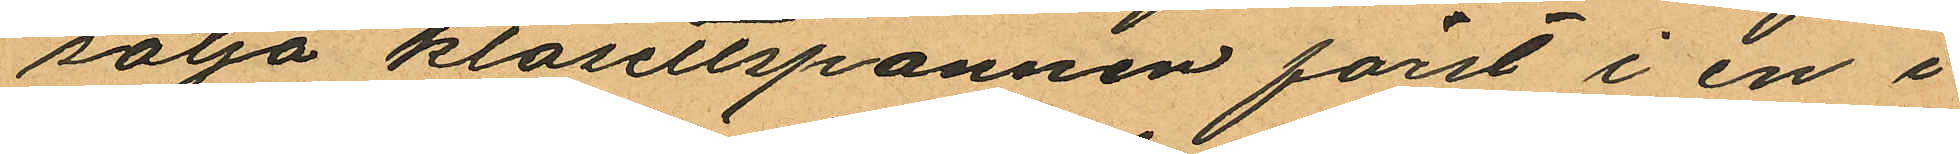sälja klosettspannen först i en i
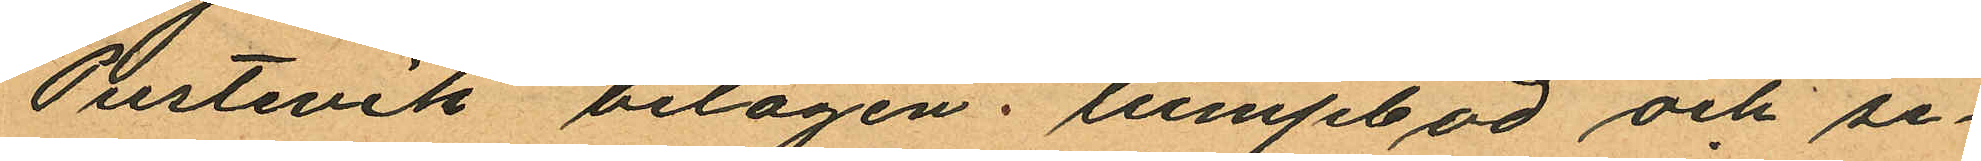Pustevik belägen . lumpbod och se
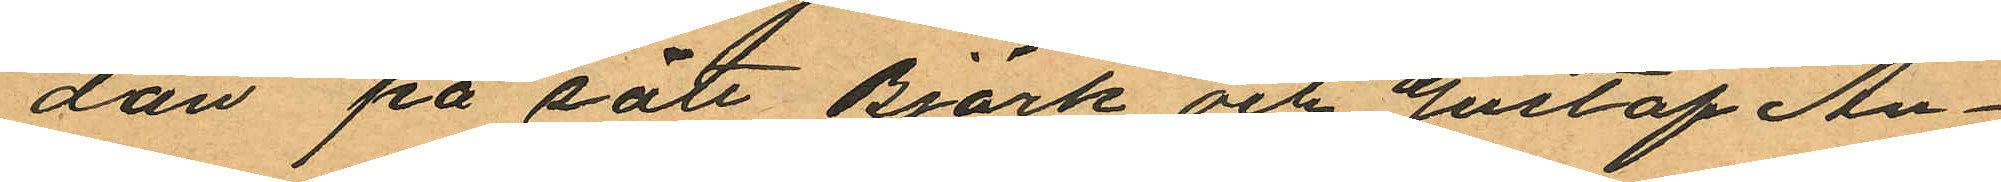dan på sätt Björk och Gustaf An¬
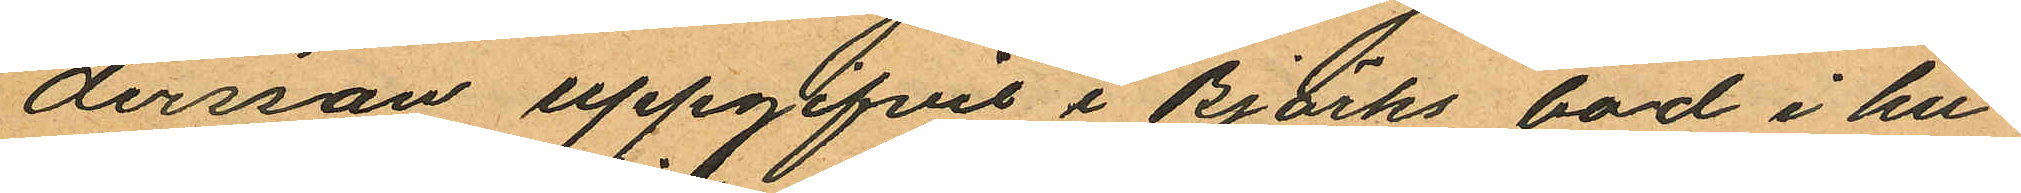dersson uppgifvit i Björks bod i hu¬
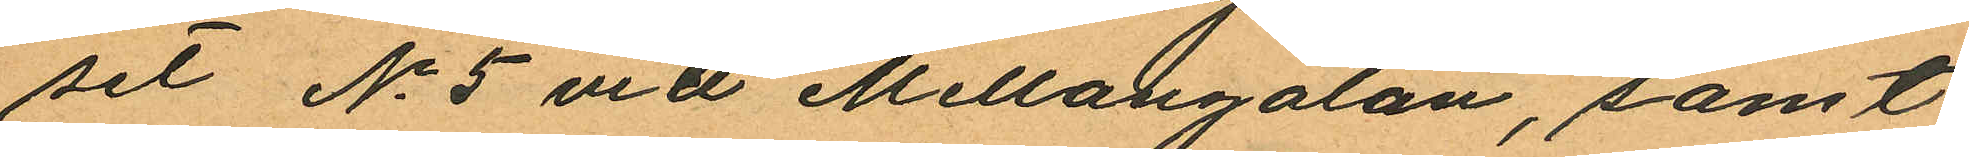set No 5 vid Mellangatan, samt
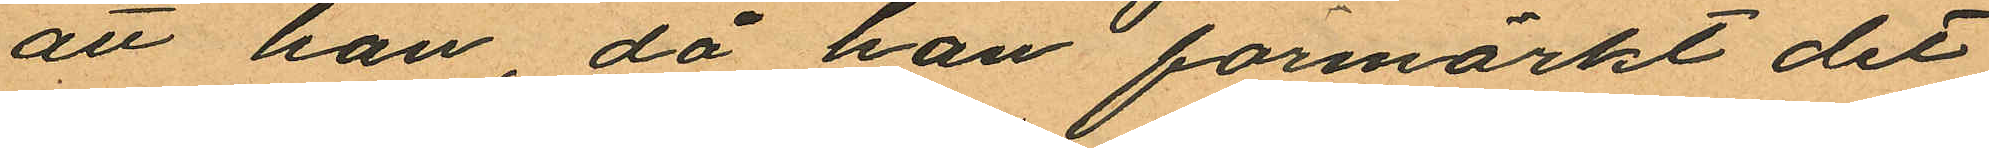att han, då han förmärkt det
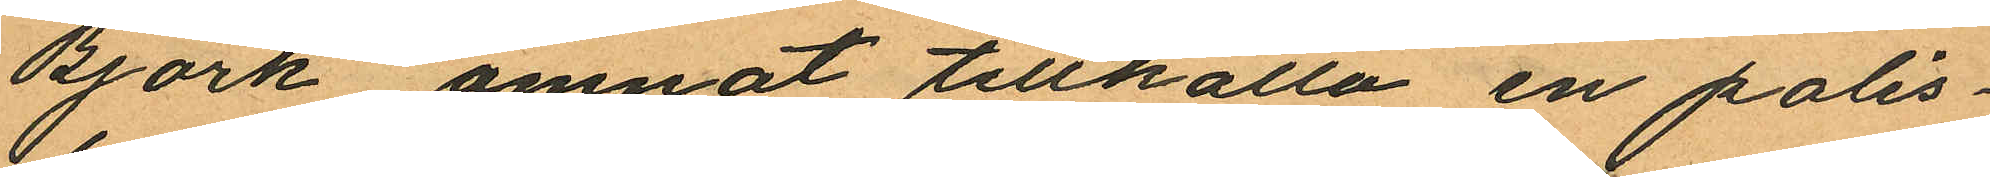Björk ämnat tillkalla en polis¬
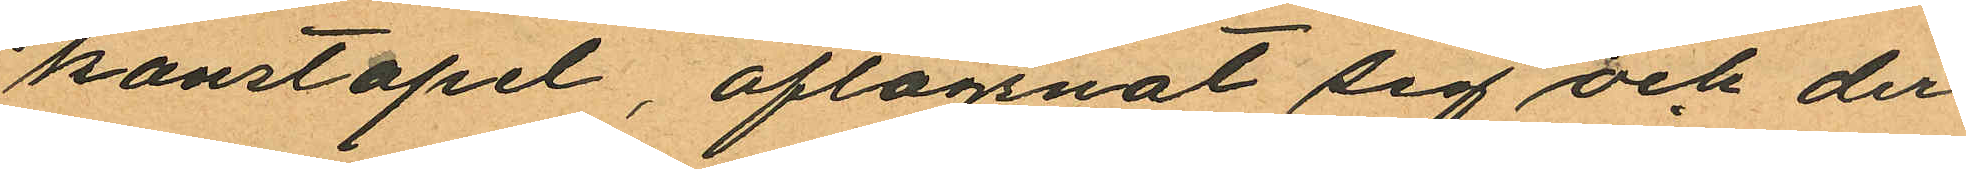konstapel, aflägsnat sig och der¬
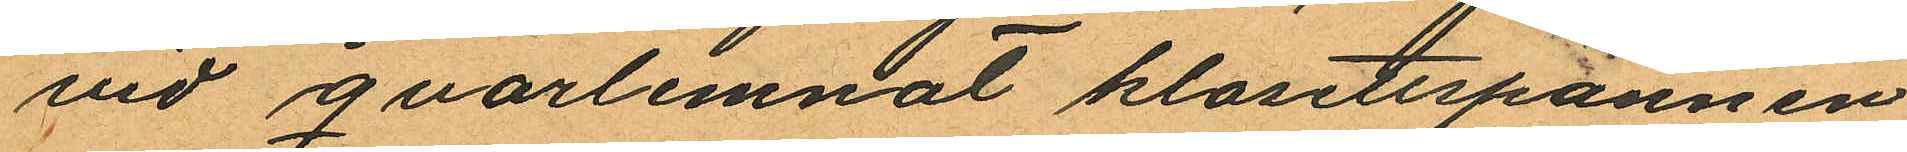vid qvarlemnat klosettspannen
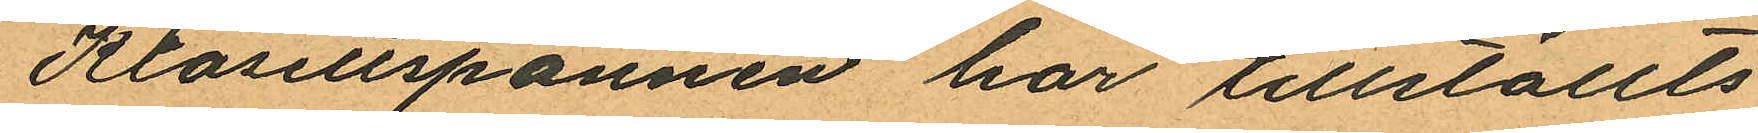Klosettspannen har tillställts
